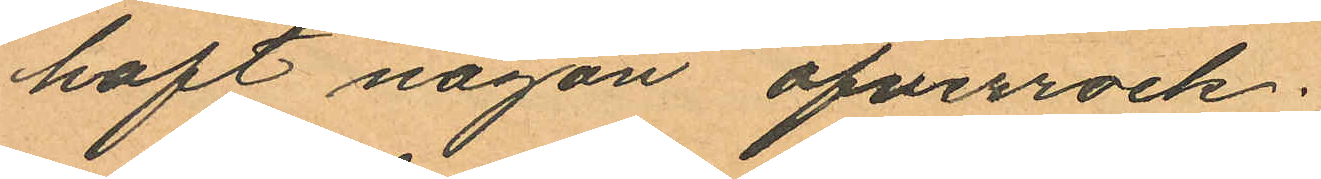haft någon öfverrock;
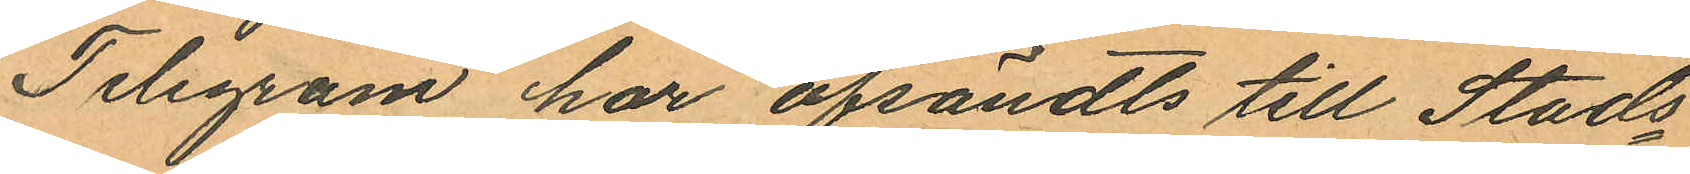Telegram har afsändts till Stads¬
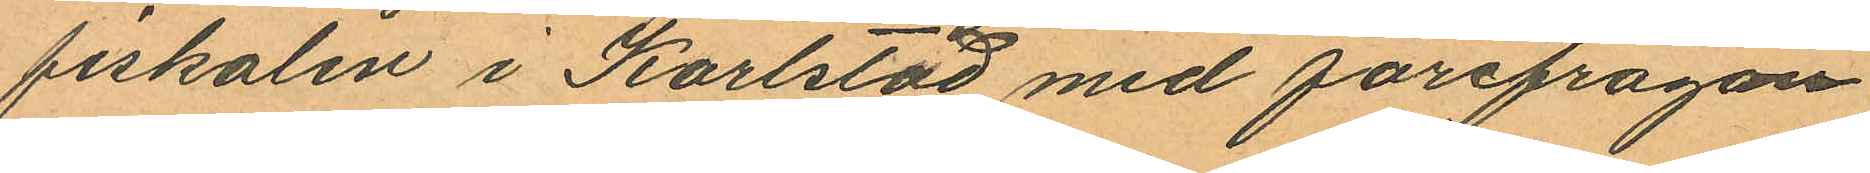fiskalen i Karlstad med förefrågan
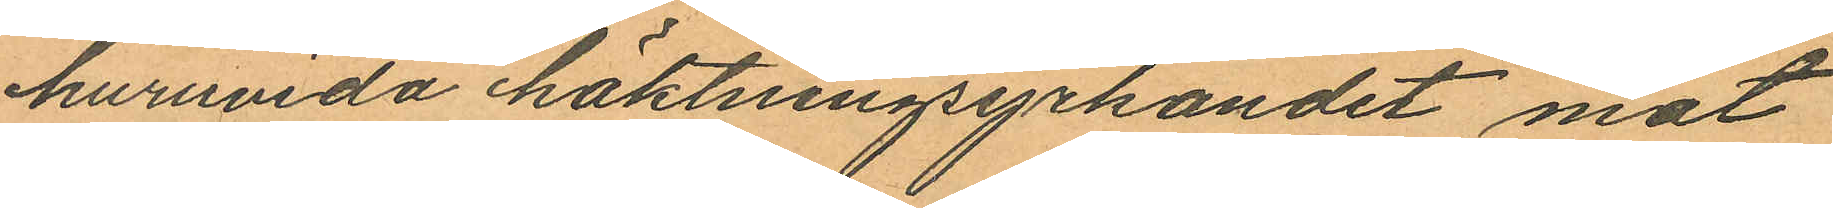huruvida häktningsyrkandet mot
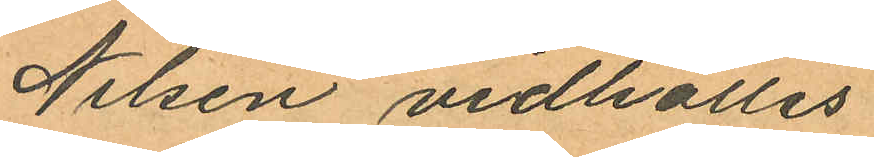Nilsen vidhålles.
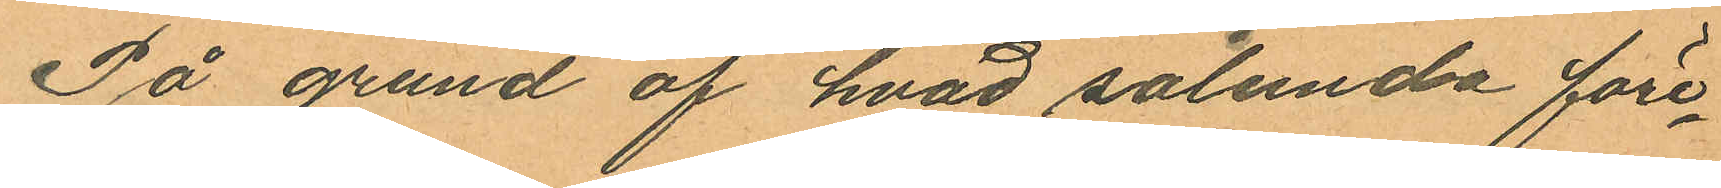På grund af hvad sålunda före¬
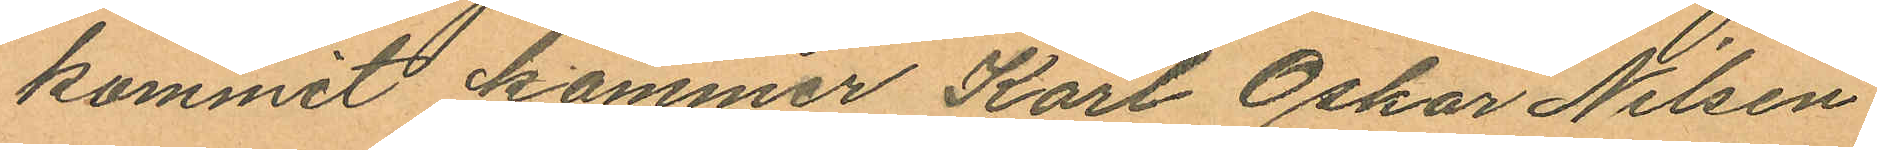kommit kommer Karl Oskar Nilsen
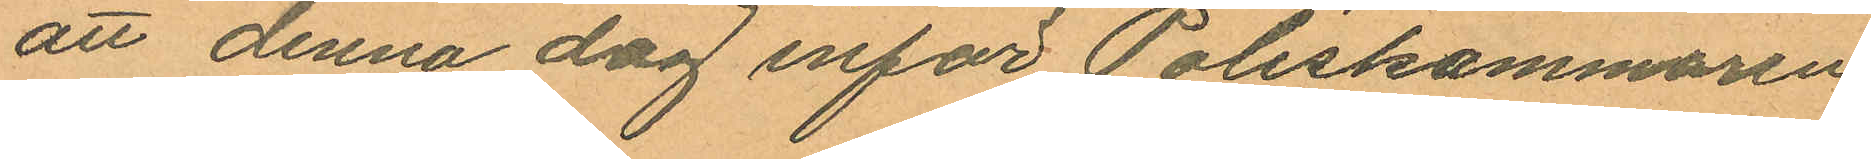att denna dag inför Poliskammaren
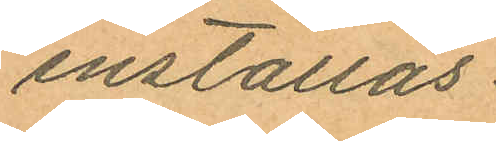inställas.
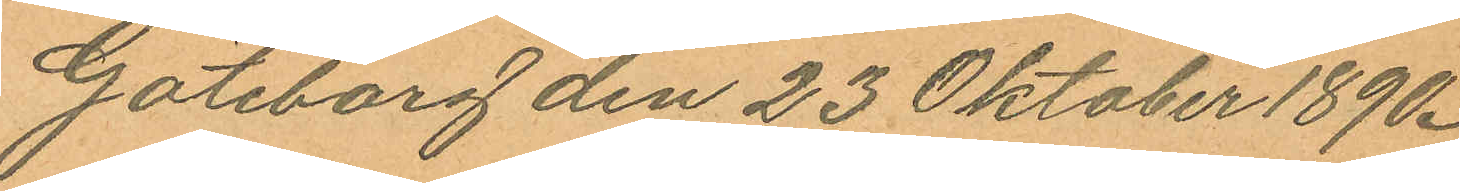Göteborg den 23 Oktober 1890.
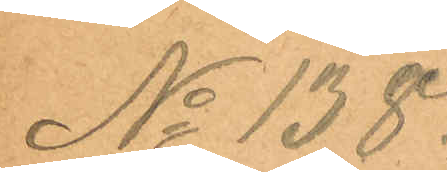No 138.
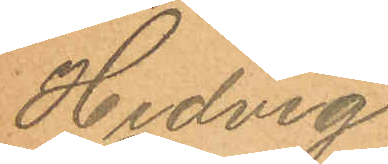Hedvig
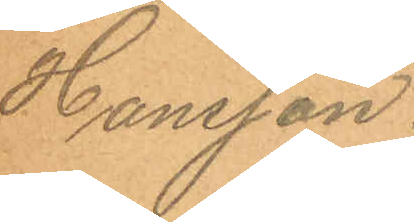Hansson.
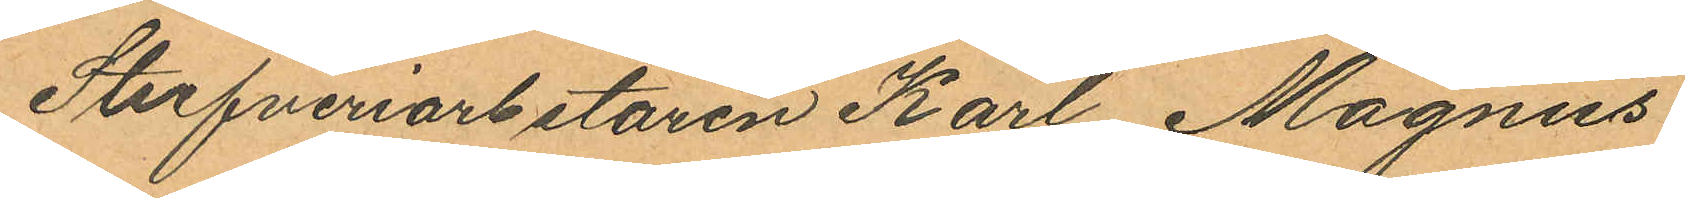Stufveriarbetaren Karl Magnus
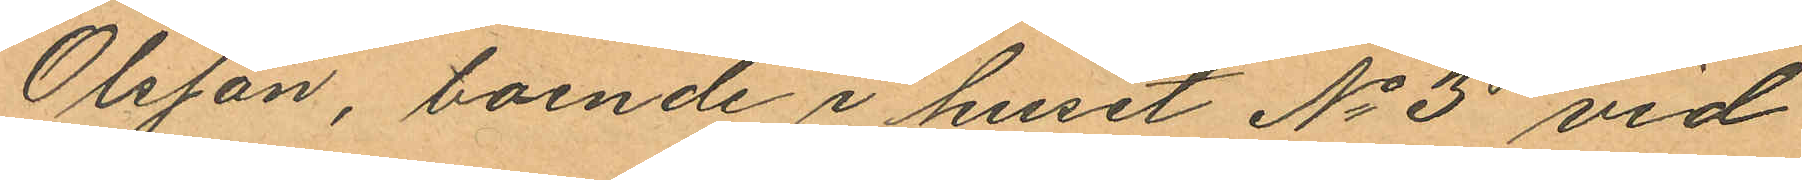Olsson, boende i huset No 3 vid
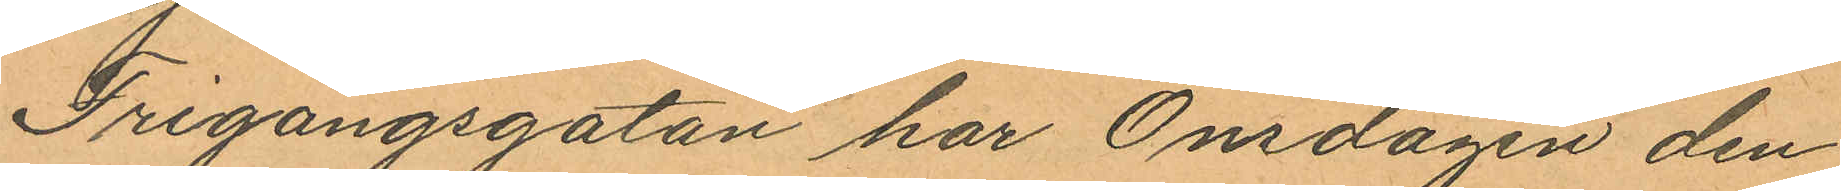Frigångsgatan har Onsdagen den
